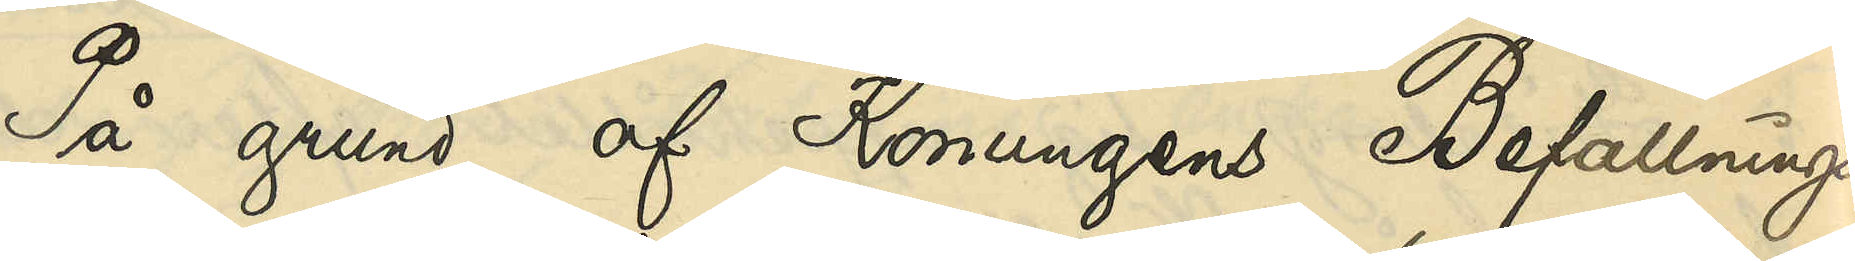På grund af Konungens Befallnings¬
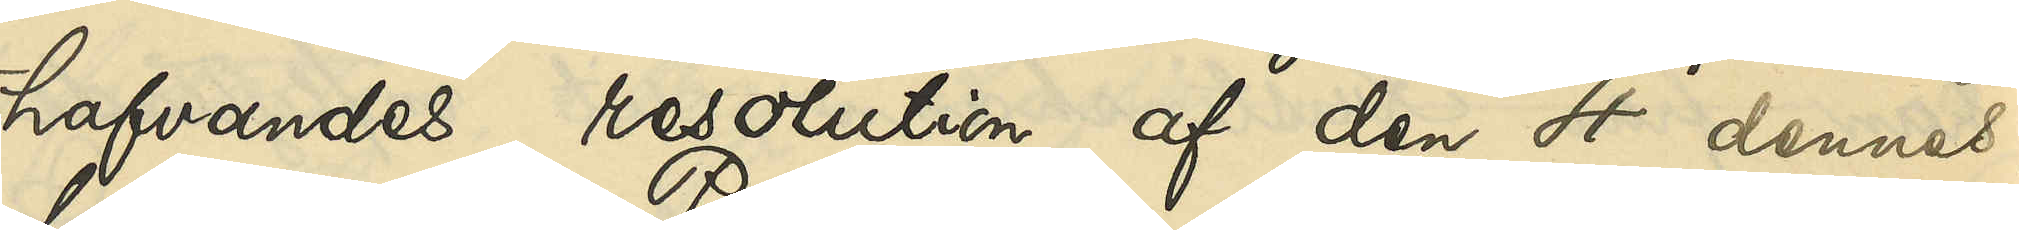hafvandes resolution af den 4 dennes,
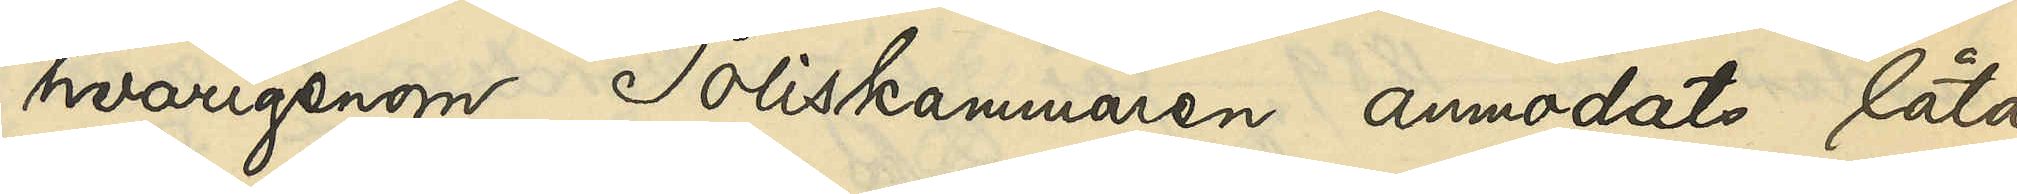hvarigenom Poliskammaren anmodats låta
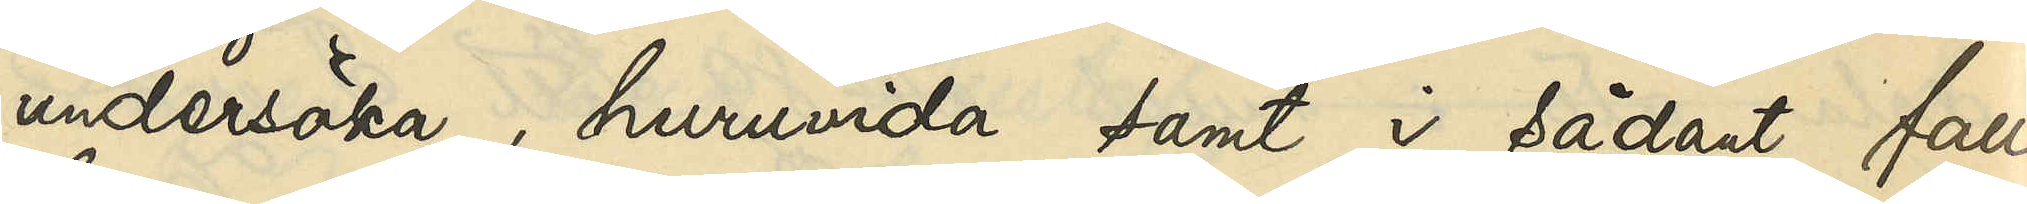undersöka, huruvida samt i sådant fall
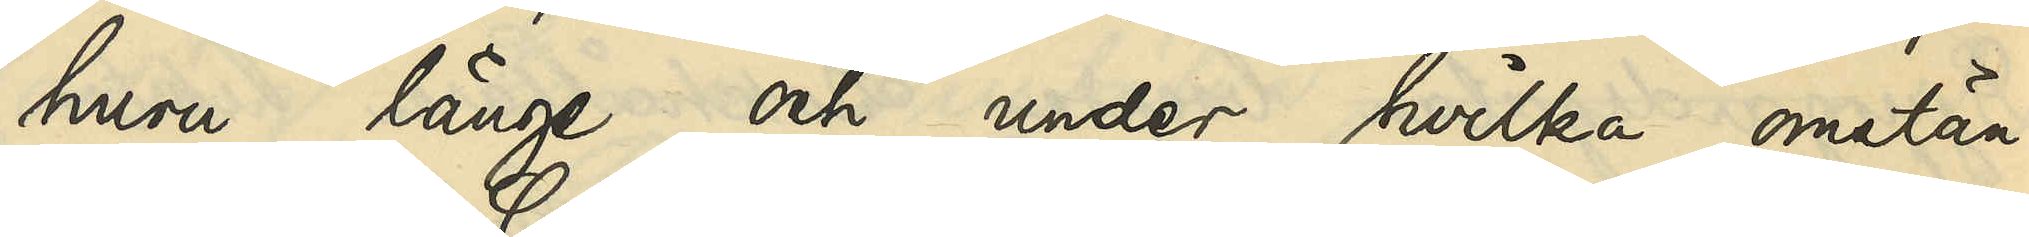huru länge och under hvilka omstän¬
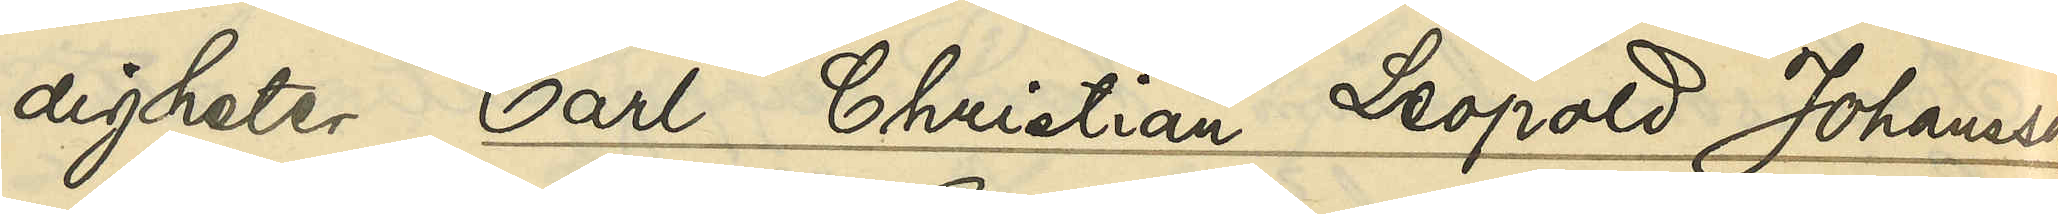digheter Carl Christian Leopold Johansson
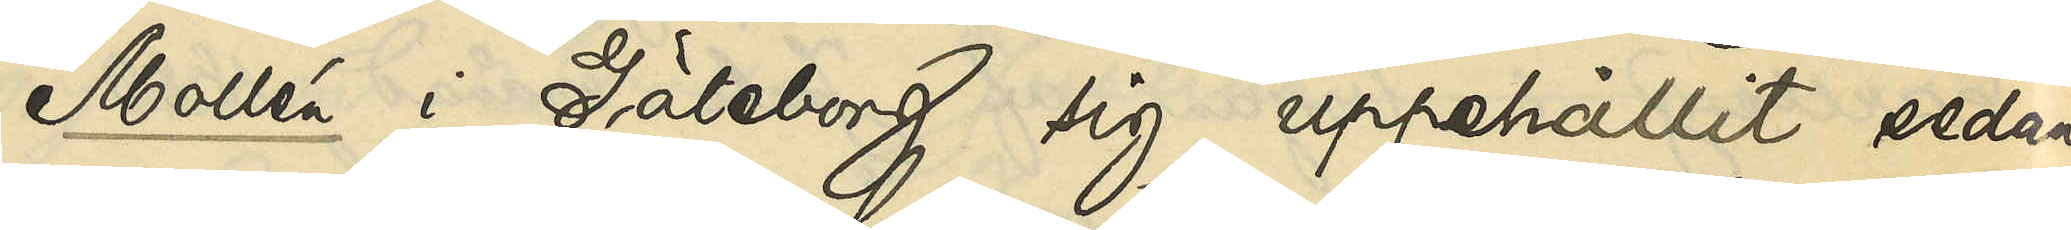Mollén i Göteborg sig uppehållit sedan
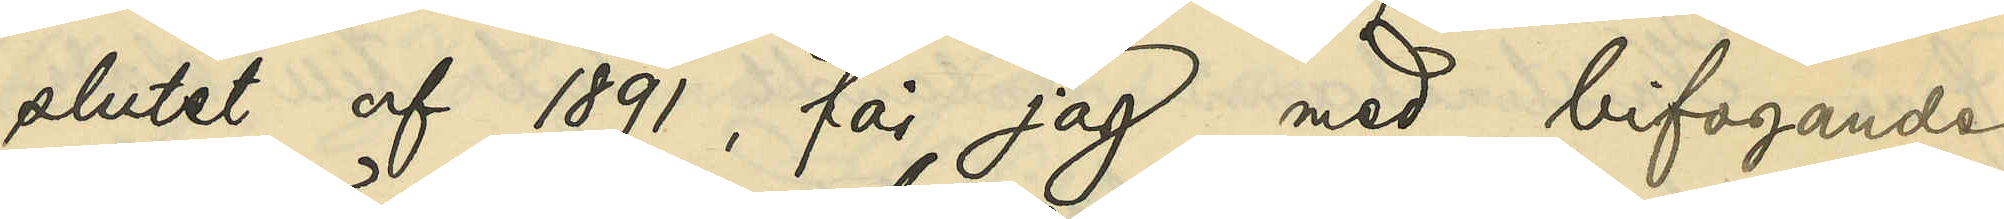slutet af 1891, får jag, med bifogande
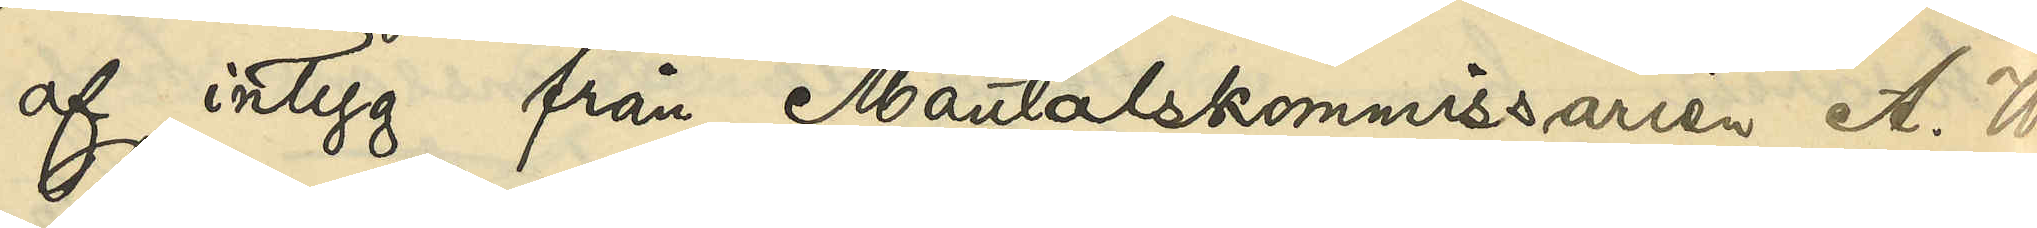af intyg från Mantalskommissarien A. W.
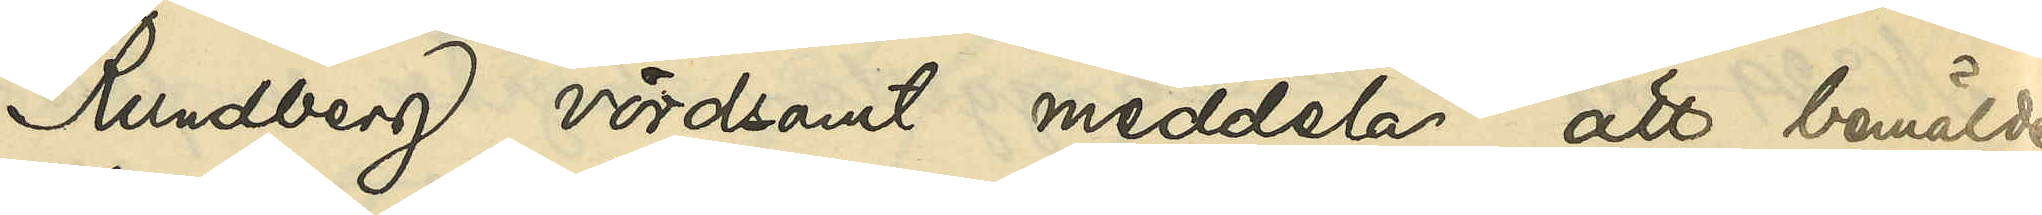Rundberg vördsamt meddela, att bemälde
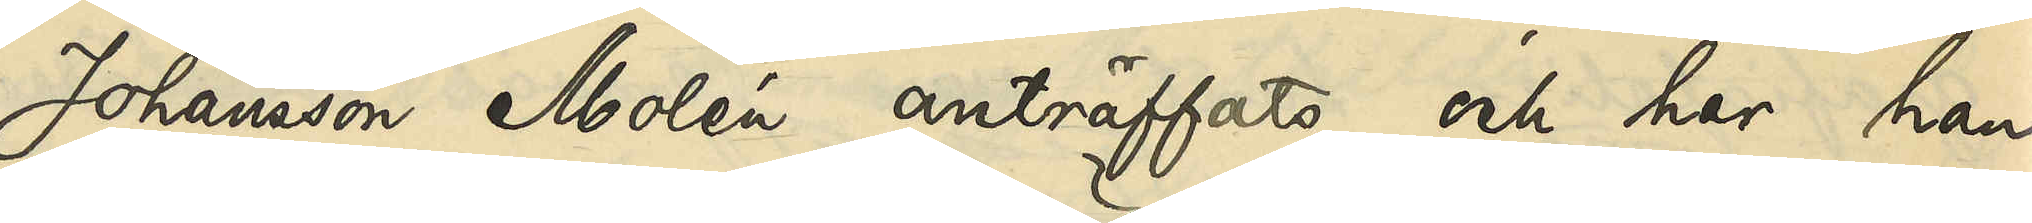Johansson Molén anträffats och har han,
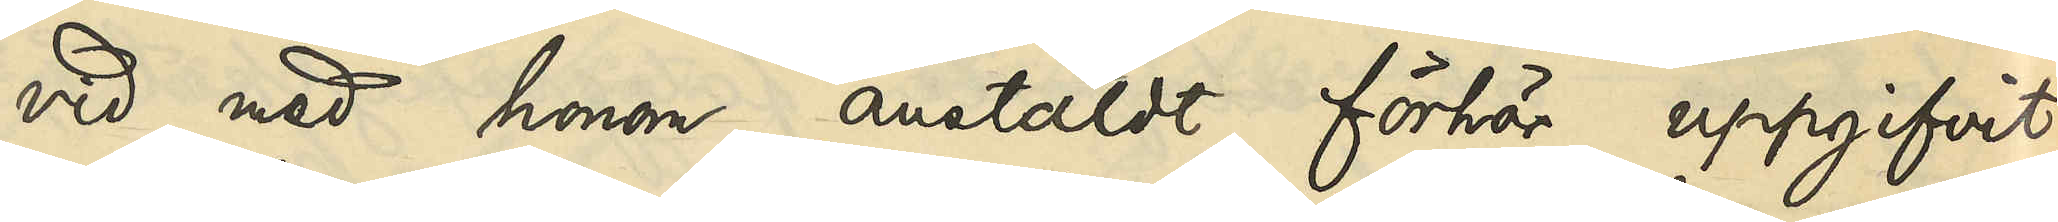vid med honom anstäldt förhör uppgifvit,
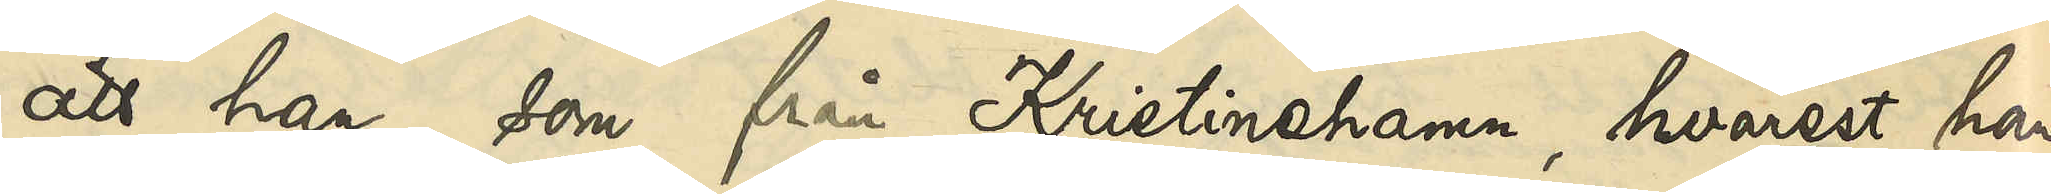att han, som från Kristinehamn, hvarest han
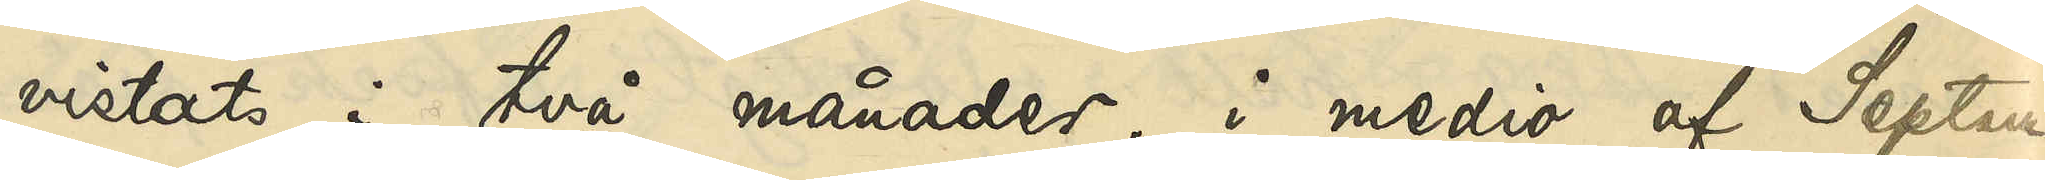vistats i två månader, i medio af Septem¬
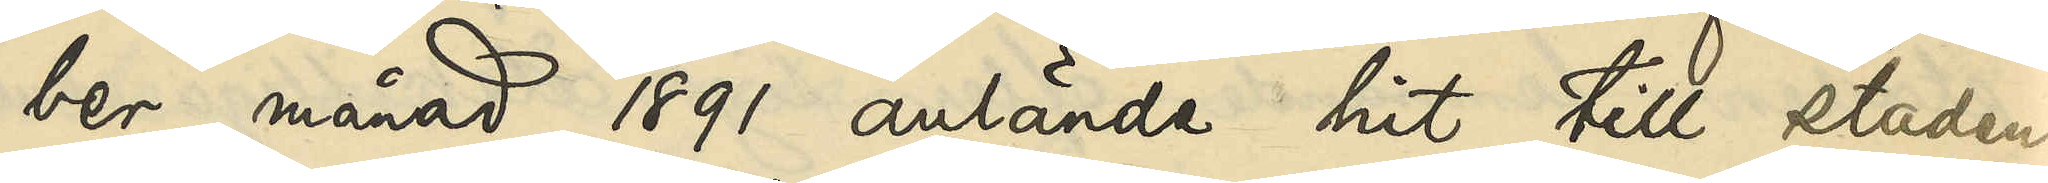ber månad 1891 anlände hit till staden
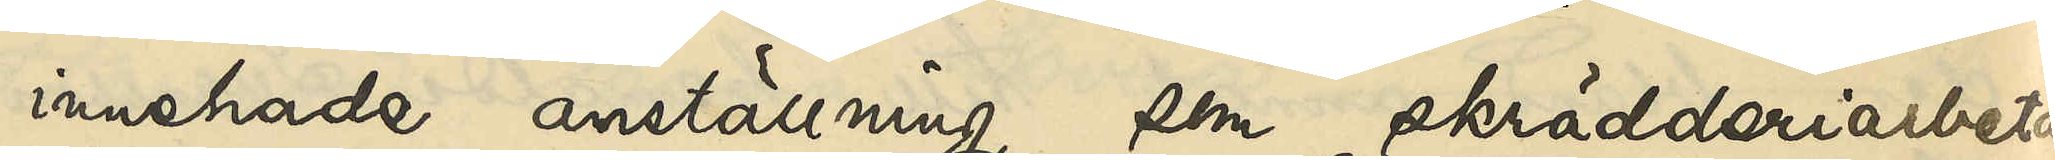innehade anställning som skrädderiarbetare
